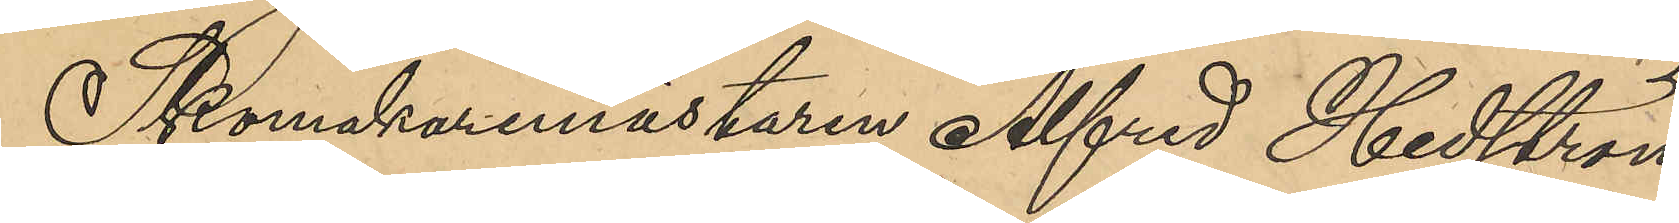Skomakaremästaren Alfred Hedström,
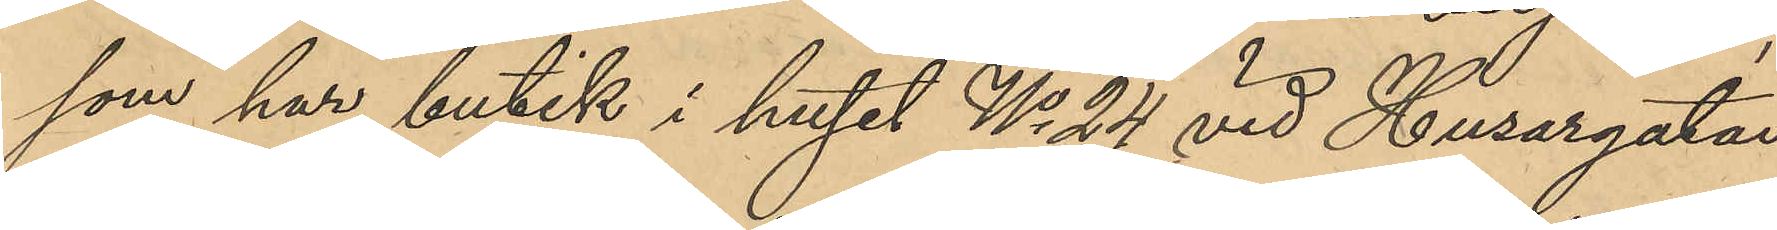som har butik i huset No 24 vid Husargatan
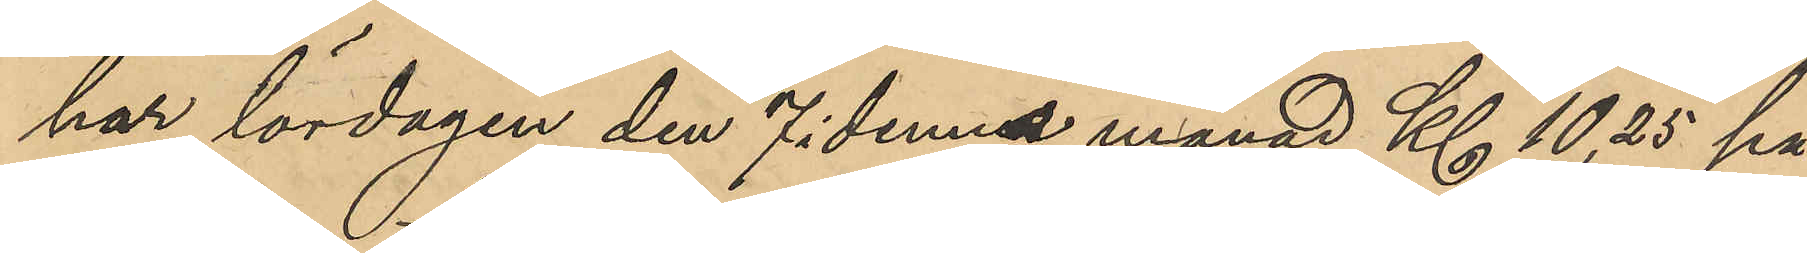har lördagen den 7 i denna månad Kl 10,25 på
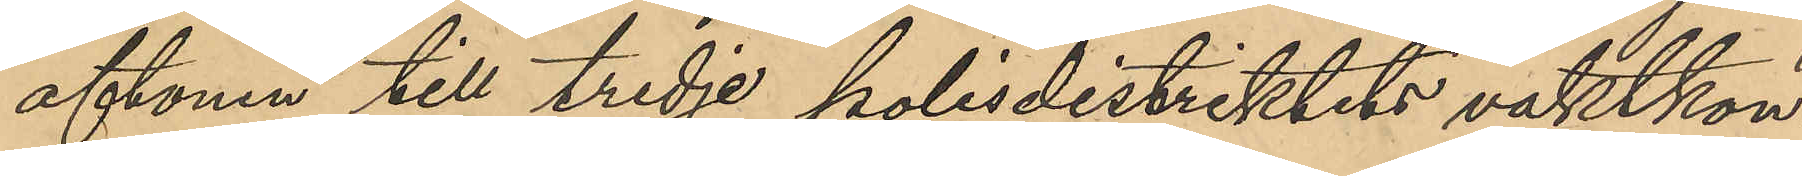aftonen till tredje polisdistriktets vaktkon¬
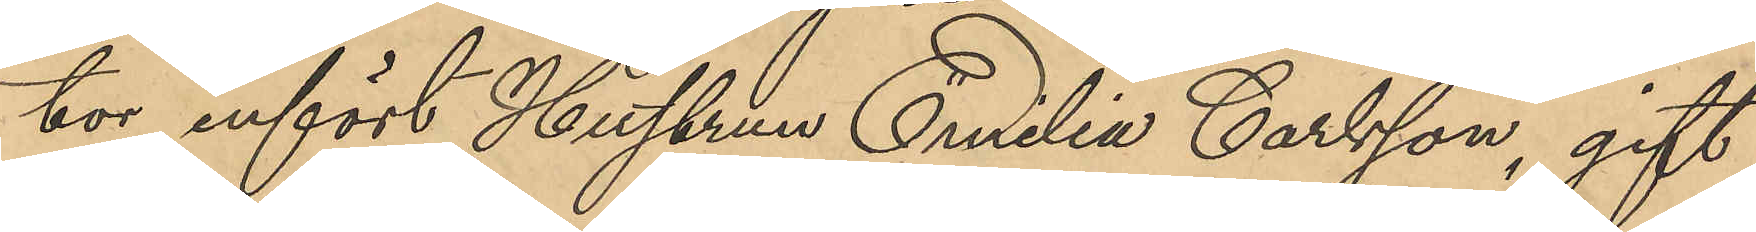tor infört Hustrun Emilia Carlsson, gift
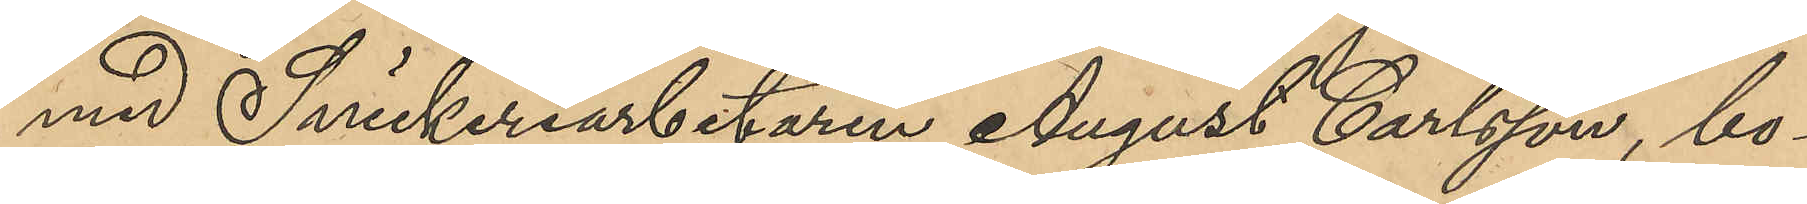med Snickeriarbetaren August Carlsson, bo¬
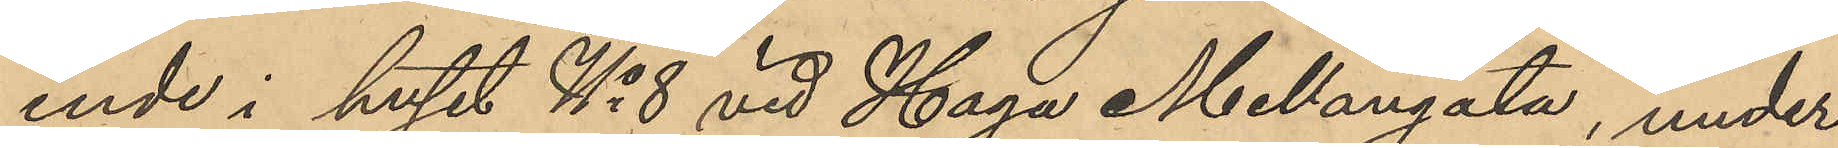ende i huset No 8 vid Haga Mellangata, under
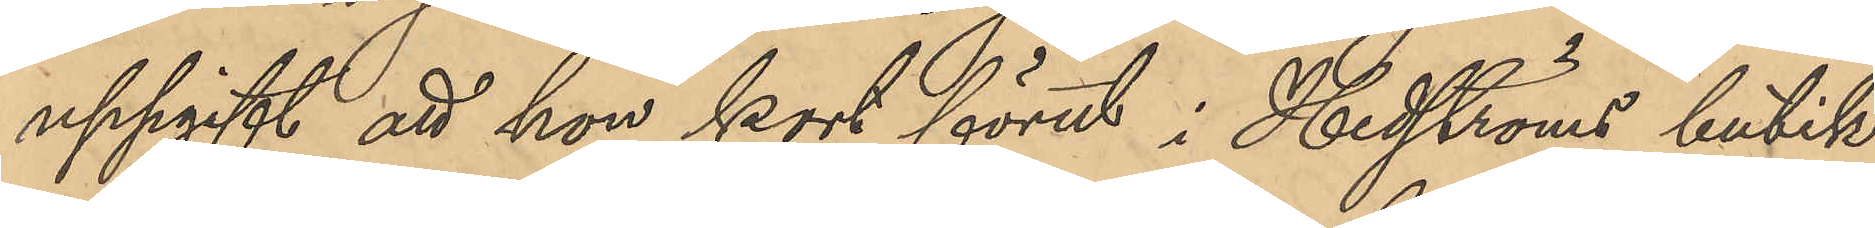uppgift att hon kort förut i Hedströms butik
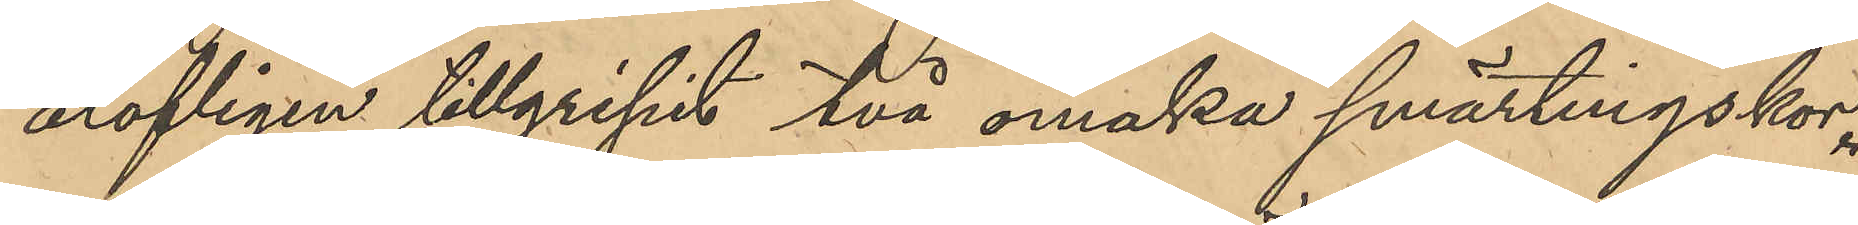olofligen tillgripit två omaka smärtingskor.
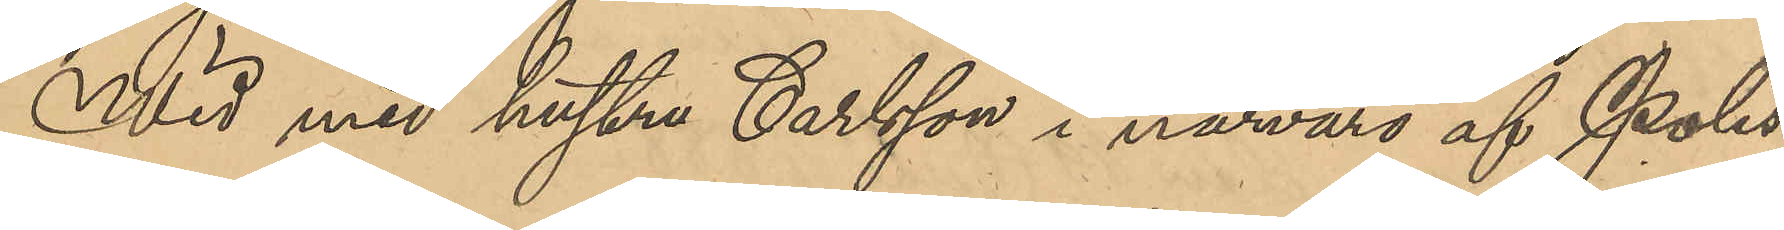Wid med hustru Carlsson i närvaro af Polis¬
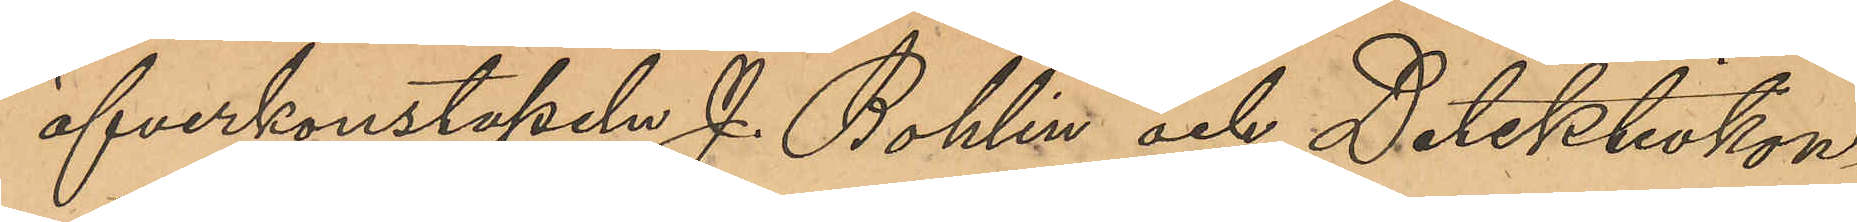öfverkonstapeln J. Bohlin och Detektivkon¬
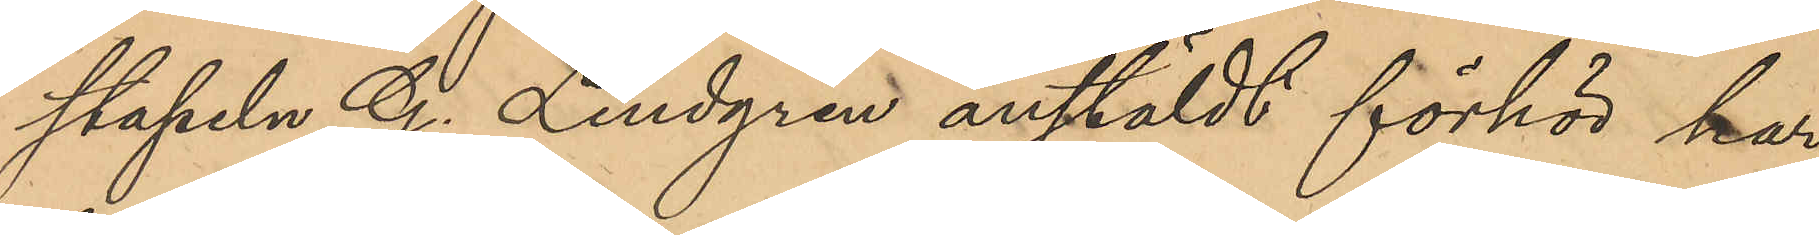stapeln G. Lindgren anstäldt förhör har
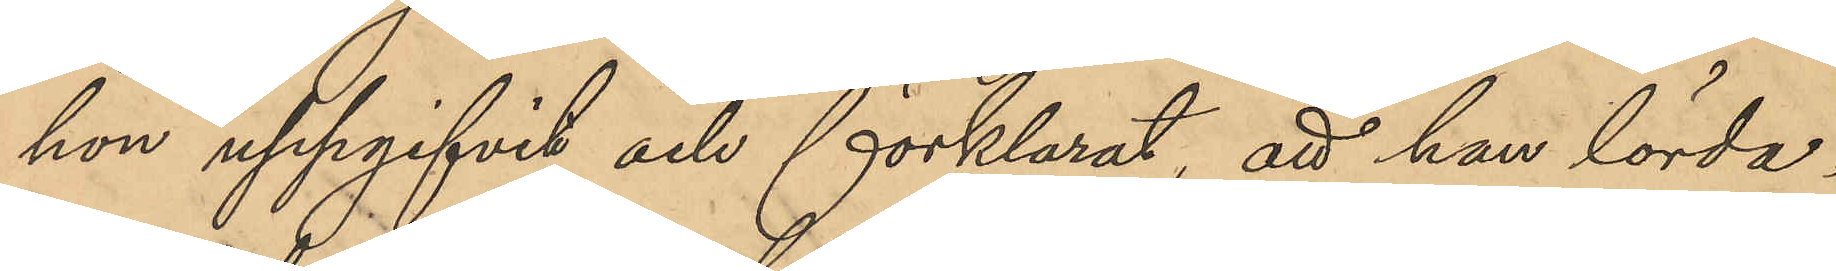hon uppgifvit och förklarat; att hon lörda¬
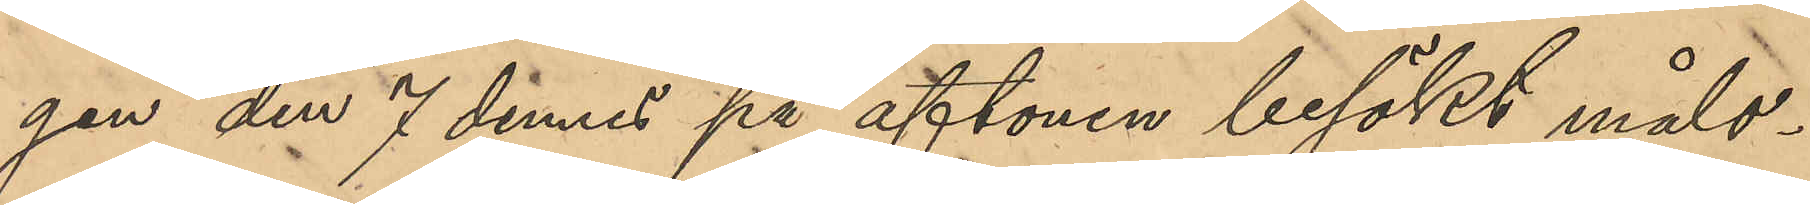gen den 7 dennes på aftonen besökt måls¬
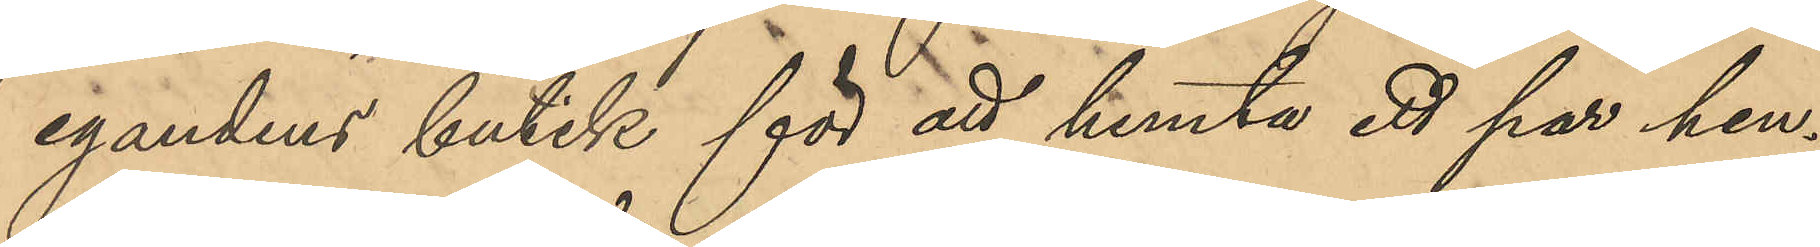egandens butik för att hemta ett par hen¬
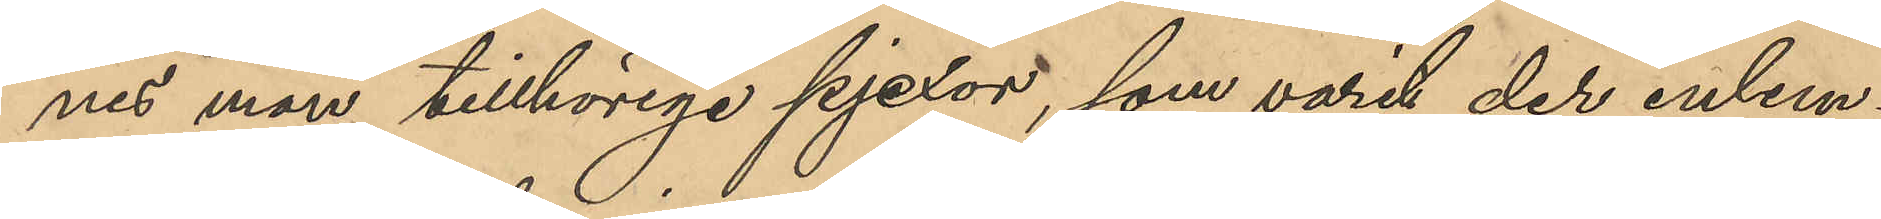nes man tillhörige pjexor, som varit der inlem¬
